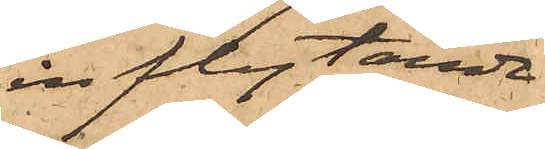inflytande
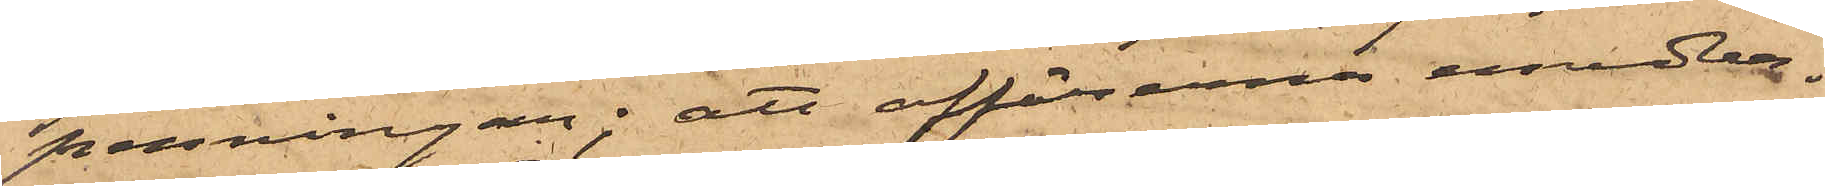penningar; att affärerna emedler¬
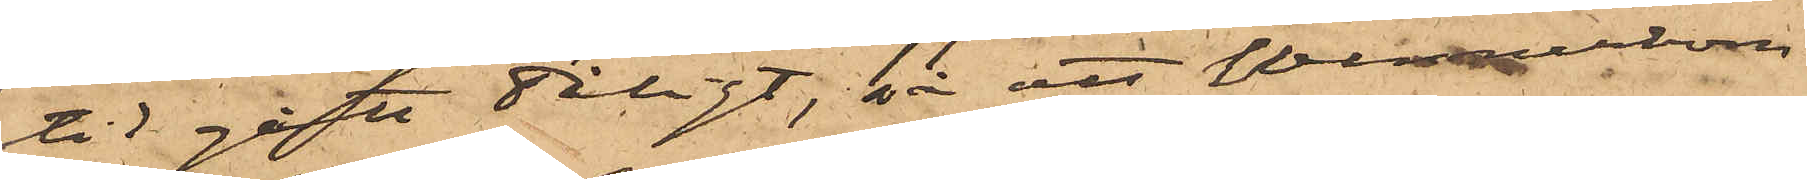tid gått dåligt, så att Wennerbom
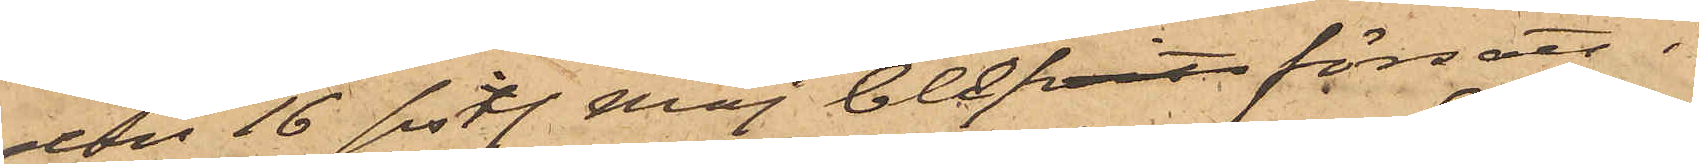den 16 sistl. Maj blifvit försatt i
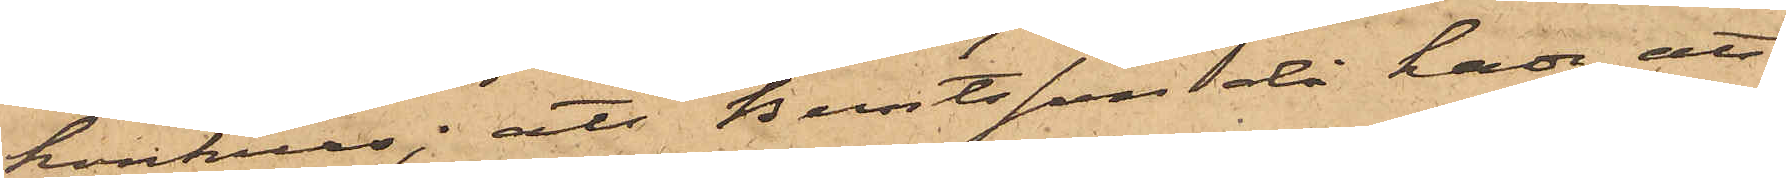konkurs; att Berntsson då hade att
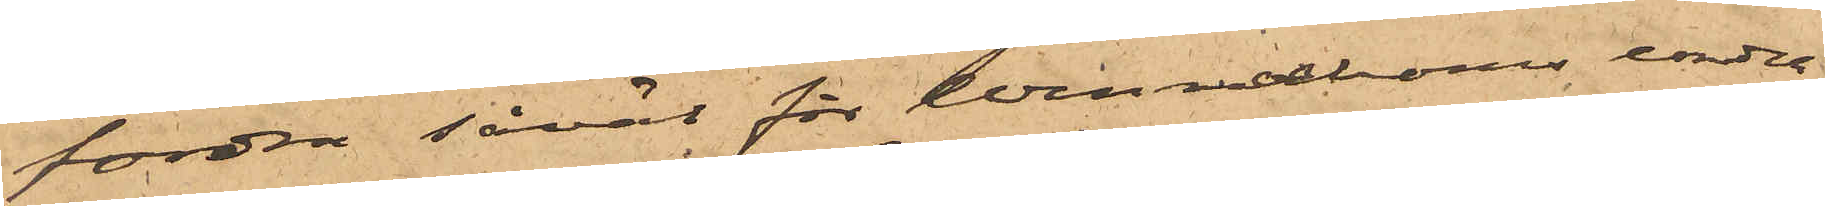fordra såväl för Wennerboms under¬
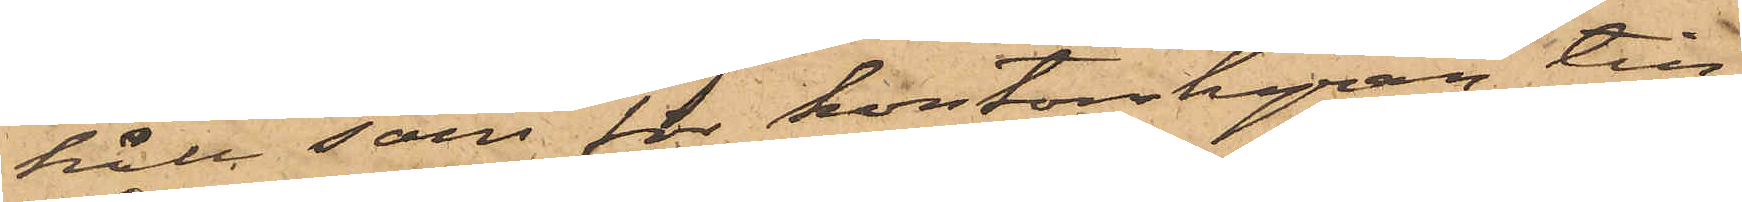håll som för kontorshyran, till
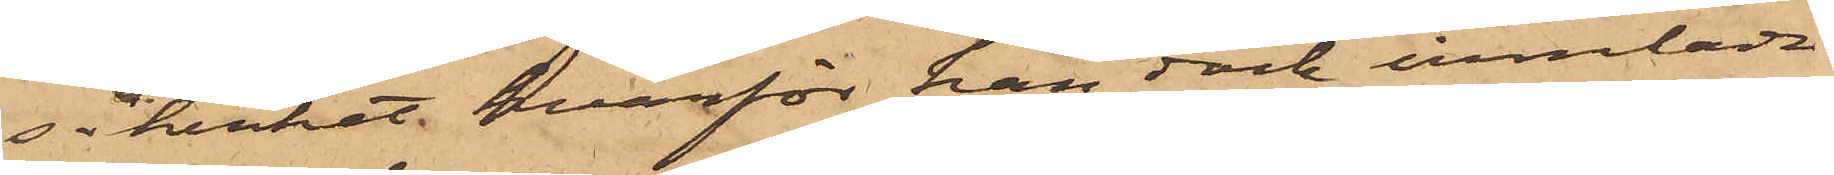säkerhet hvarför han dock innehade
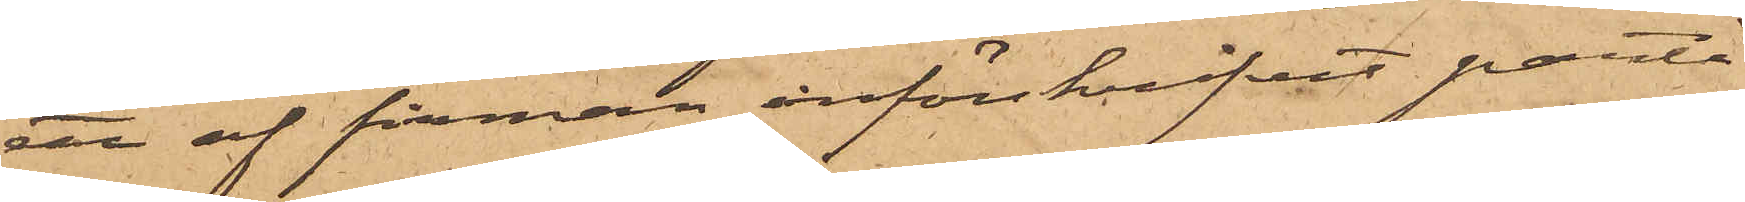ett af firman införskrifvit parti
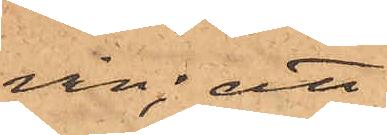vin; att
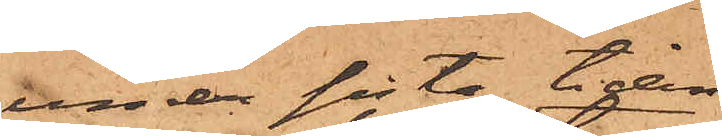under sista tiden
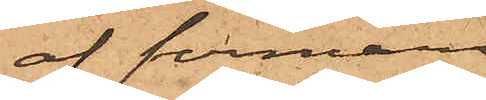af firmans
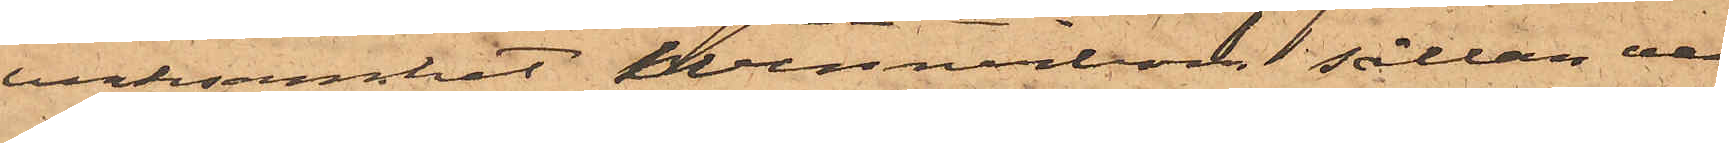verksamhet Wennerbom sällan var
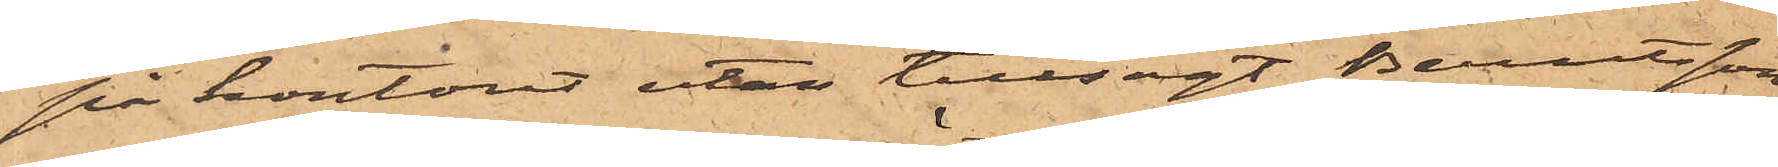på kontoret utan tillsagt Berntsson
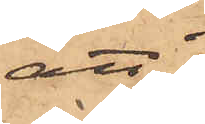att
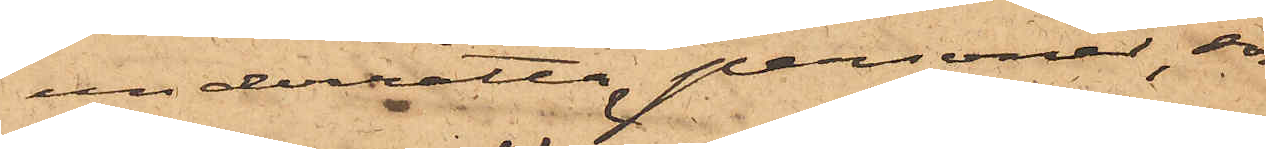underrätta personer, som
